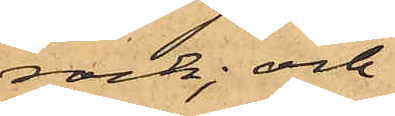rock; och
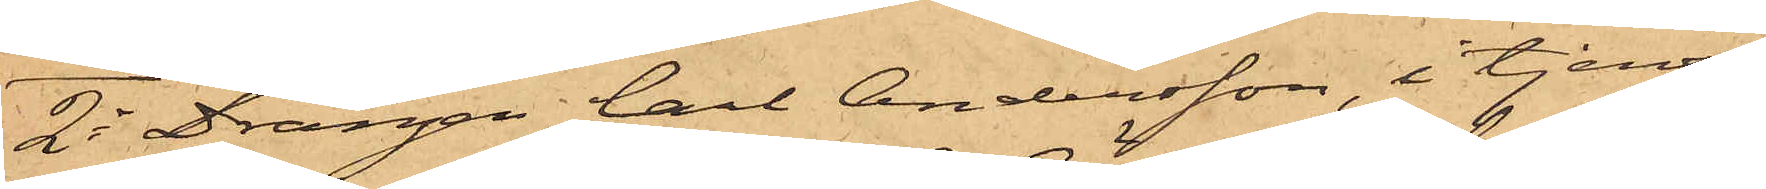2o Drängen Carl Andersson, i tjenst
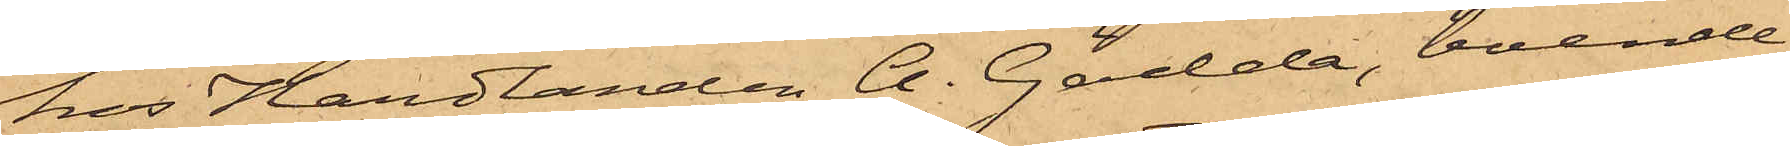hos Handlanden A. Gädda, boende
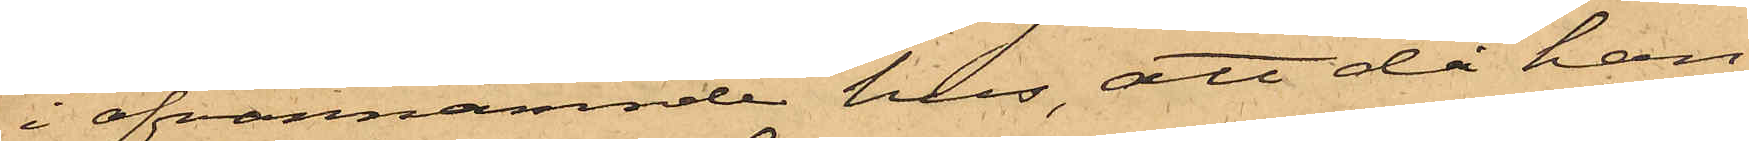i ofvannämnde hus, att då han
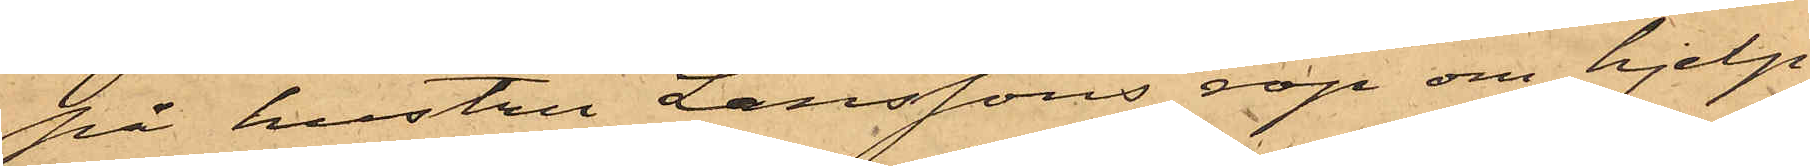på hustru Larssons rop om hjelp
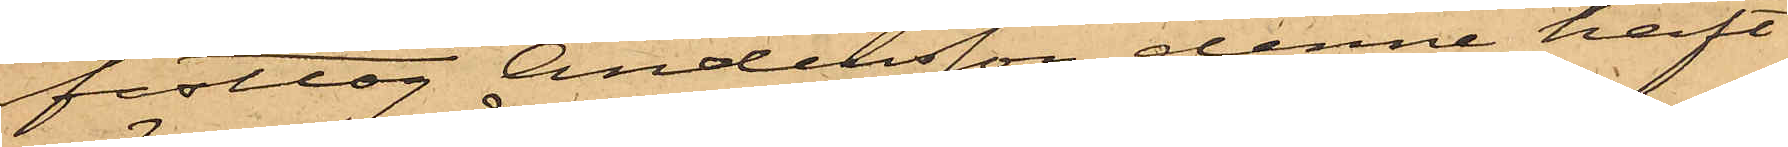fasttog Andersson, denne haft
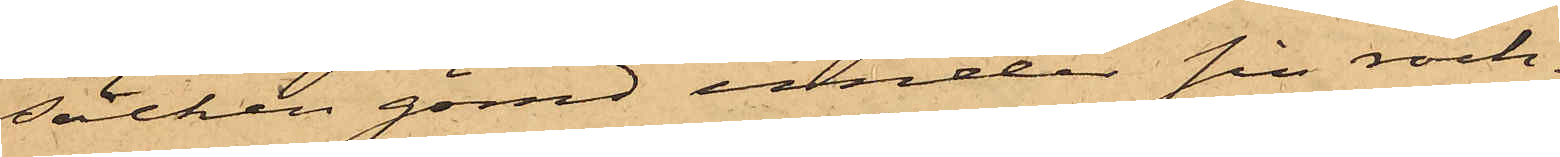säcken gömd under sin rock.
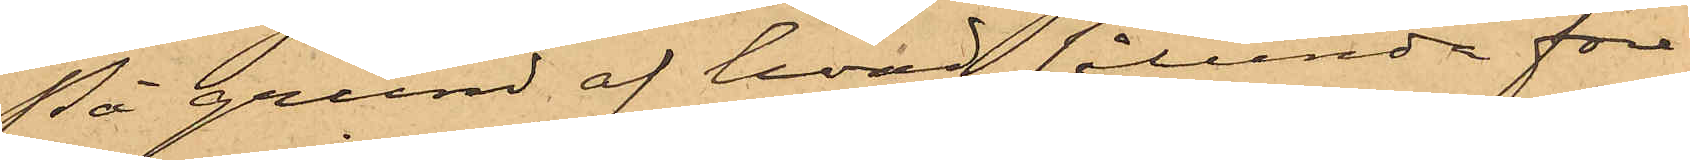På grund af hvad sålunda före¬
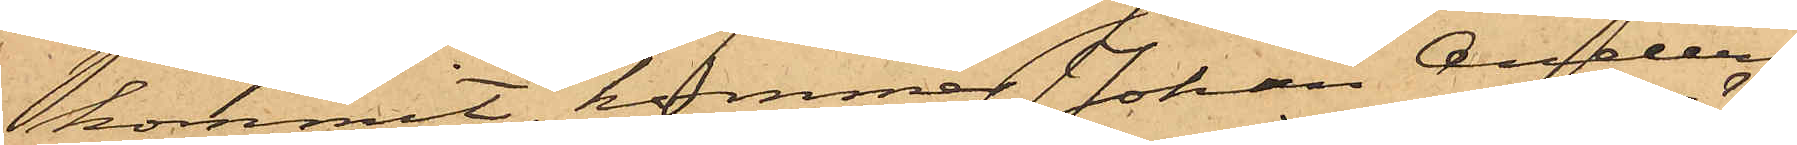kommit, kommer Johan Anders¬
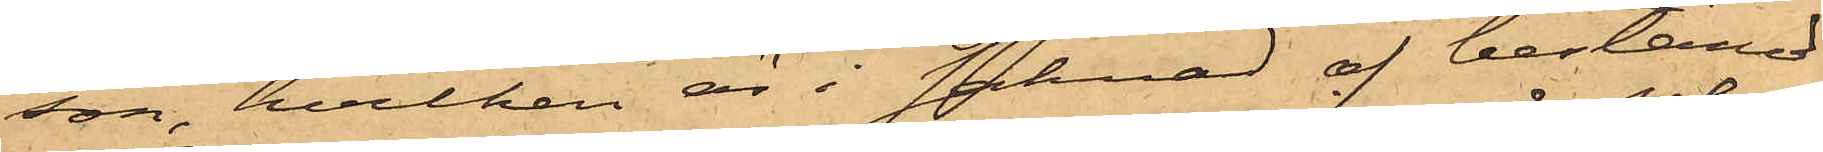son, hvilken är i saknad af bestämd
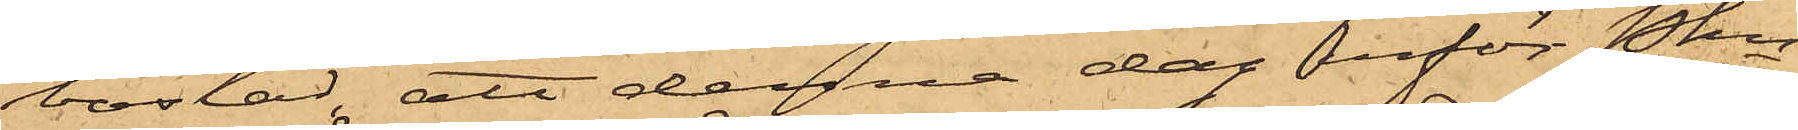bostad, att denna dag inför Pkn
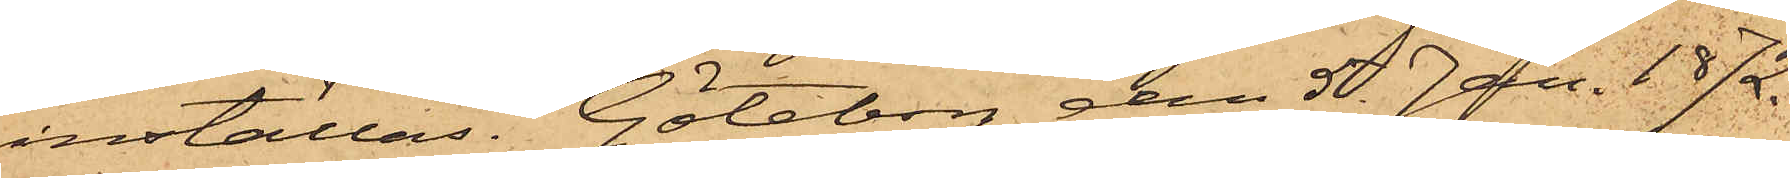inställas. Göteborg den 5 Jan. 1872.
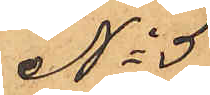No 5
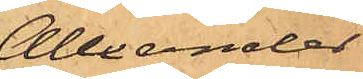Alexander
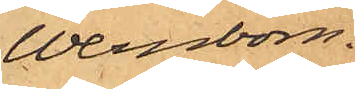Wernbom.
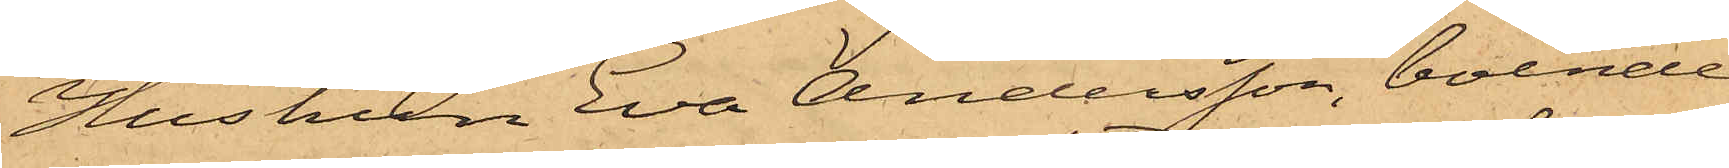Hustrun Eva Andersson, boende
